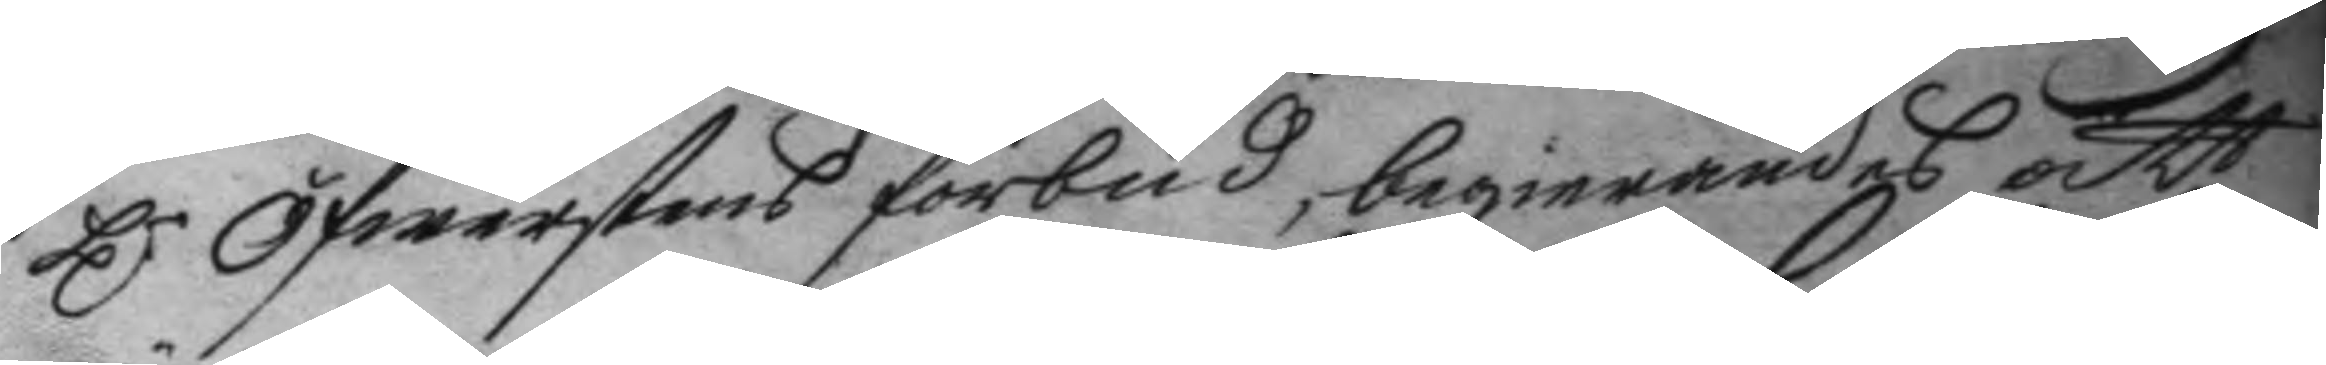H.r Öfwerstens förbud, begierandes att
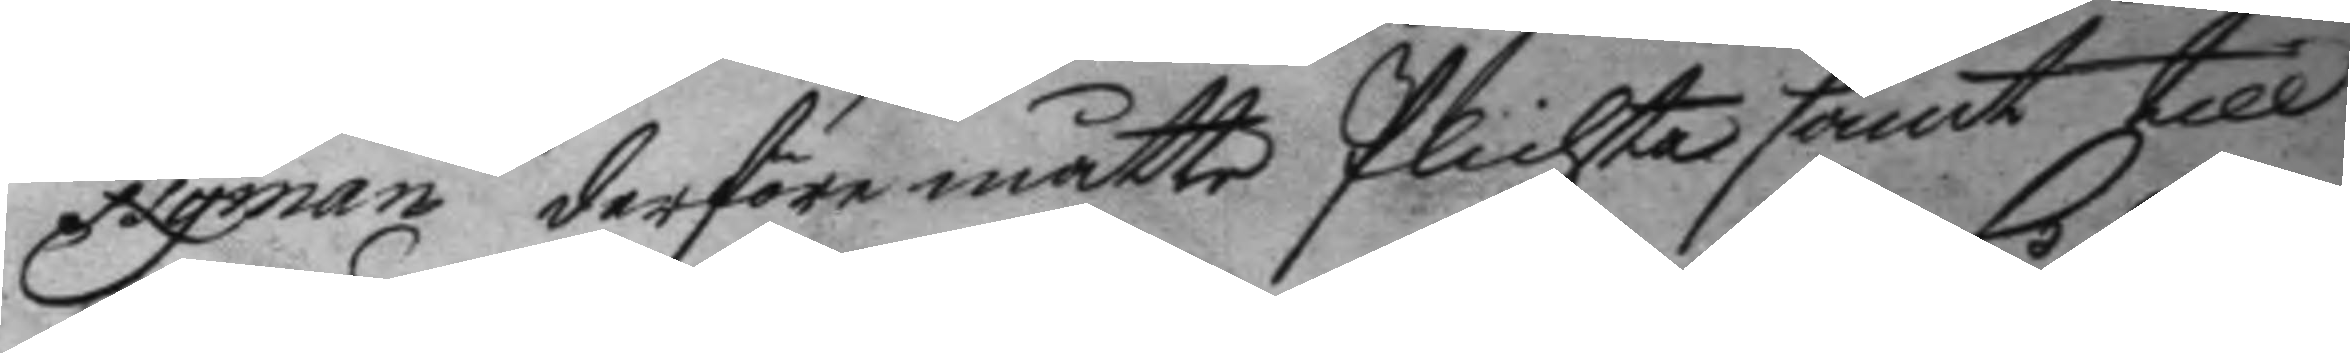Nyman derföre måtte Plickta samt till
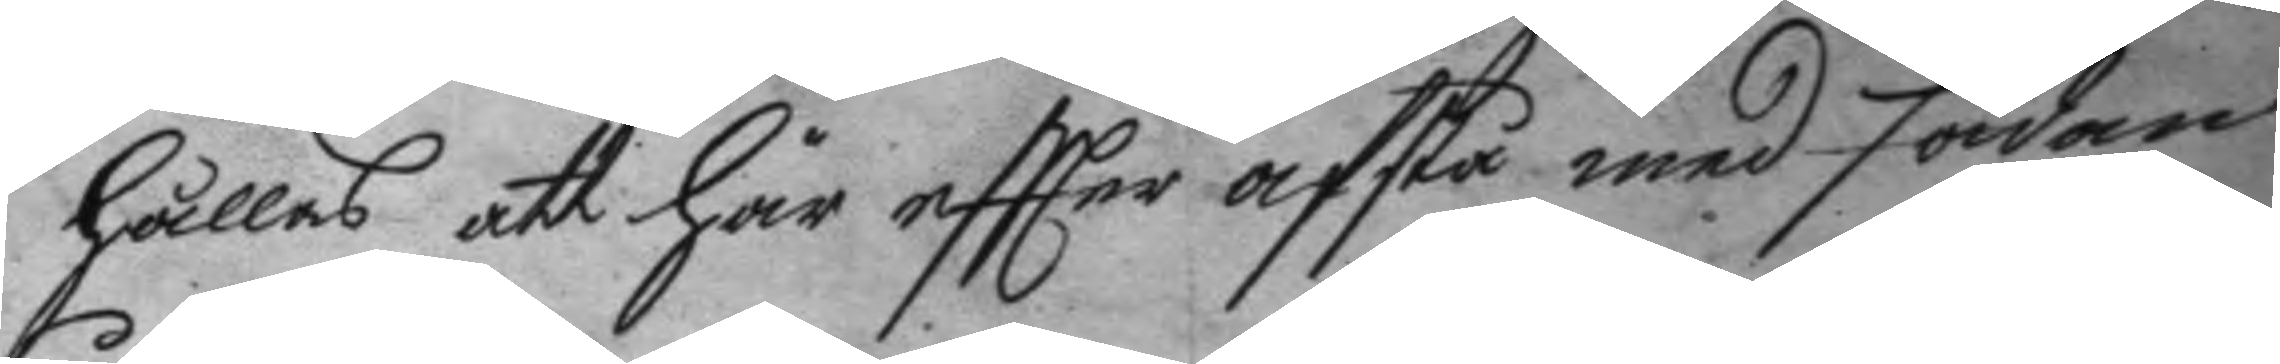hålls att här eftter afstå med sådan
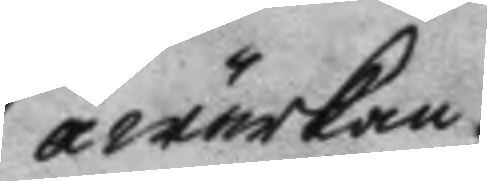åwärkan.
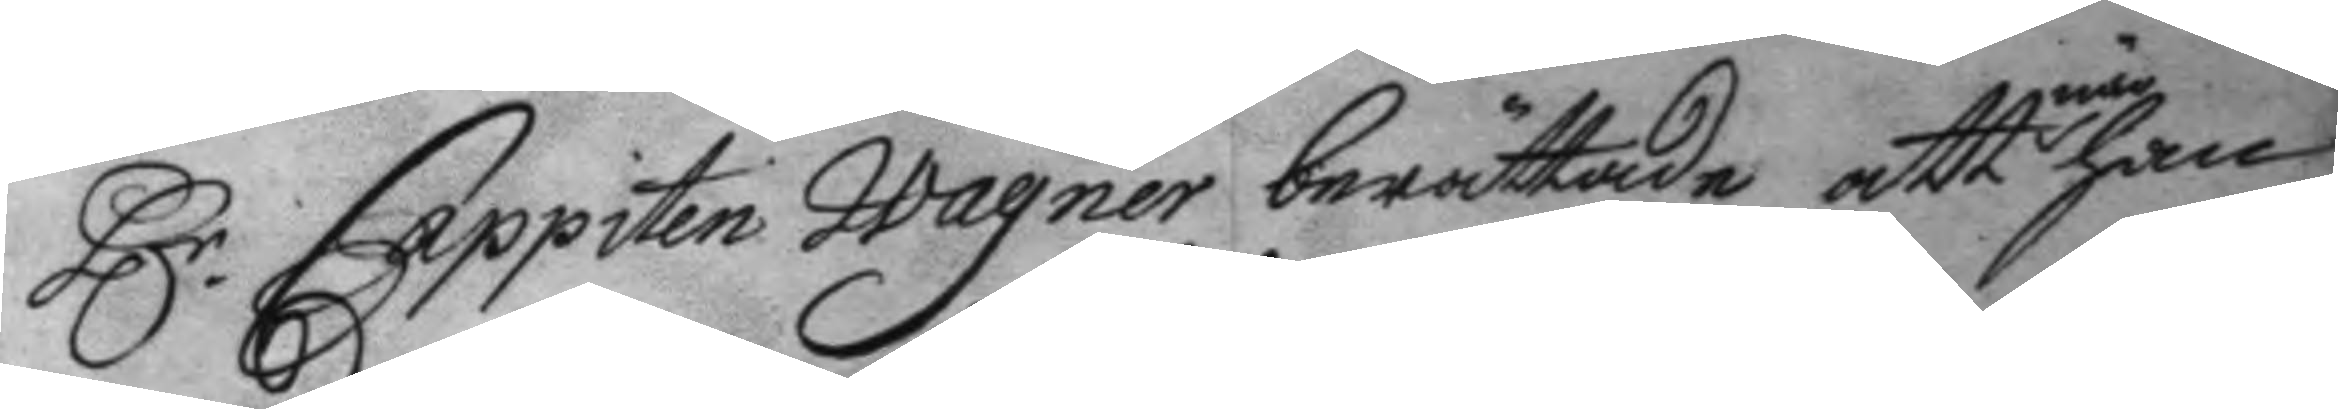H.r Cappiten Wagner berättade att när han
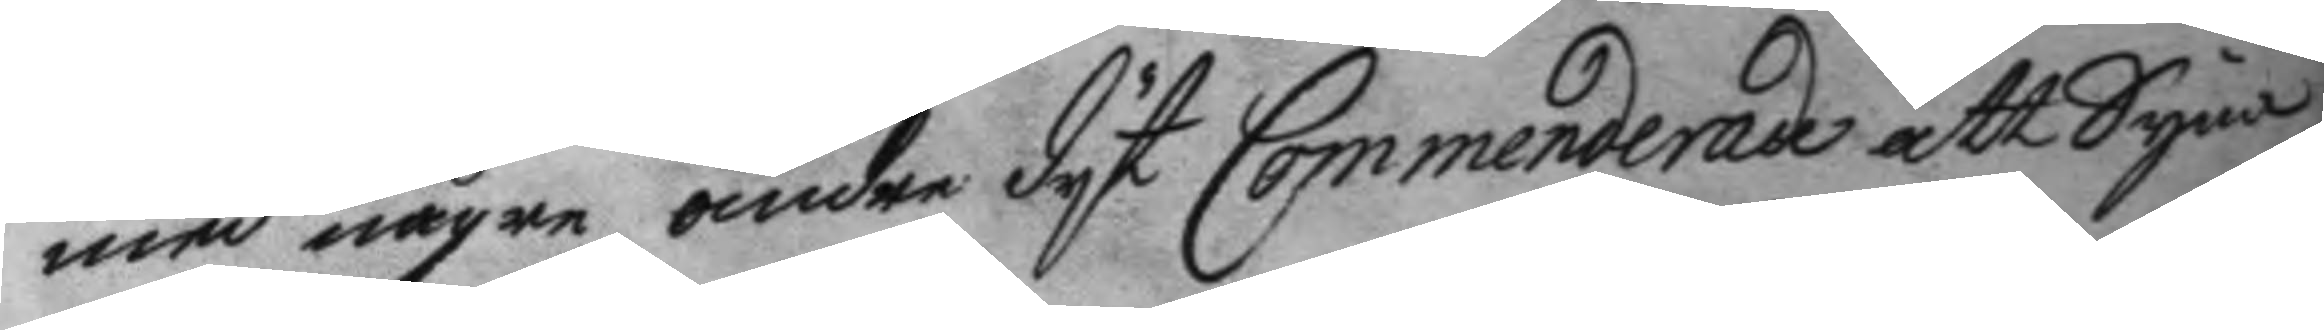med någre andre dyt Commenderade att Syna,
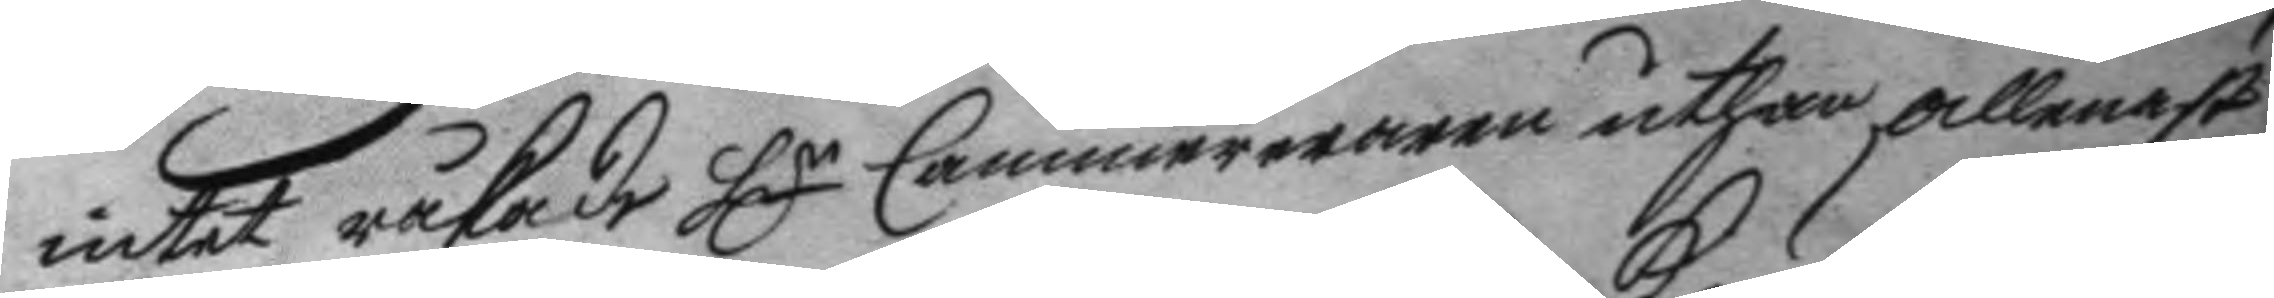intet råkade Hr Cammereraren uthan allenast
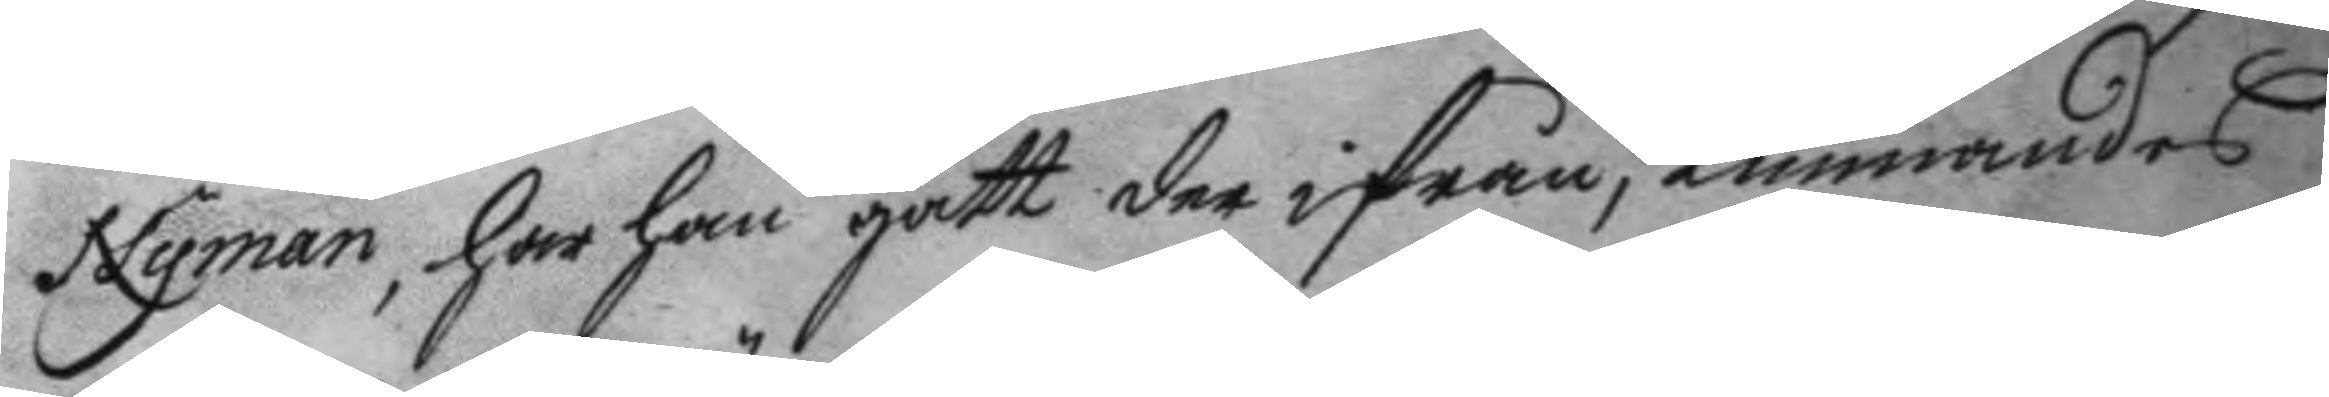Nyman, har han gått der ifrån, kunnandes
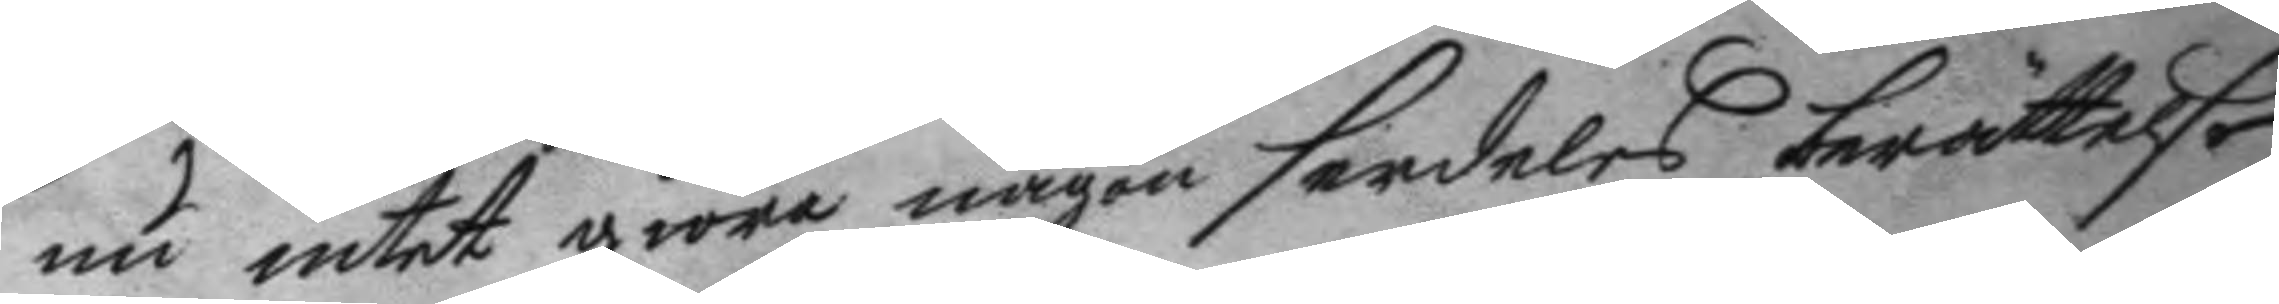nu intet giöra någon serdeles berättelse
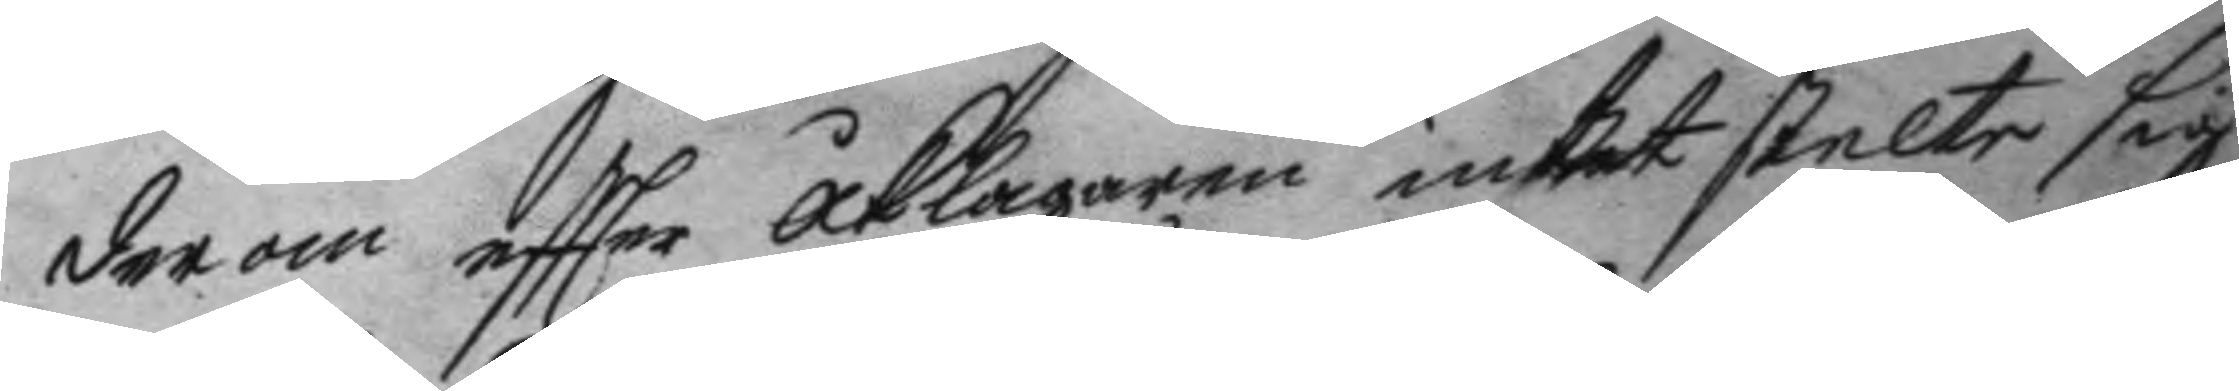derom eftter åklagaren intet stelte sig
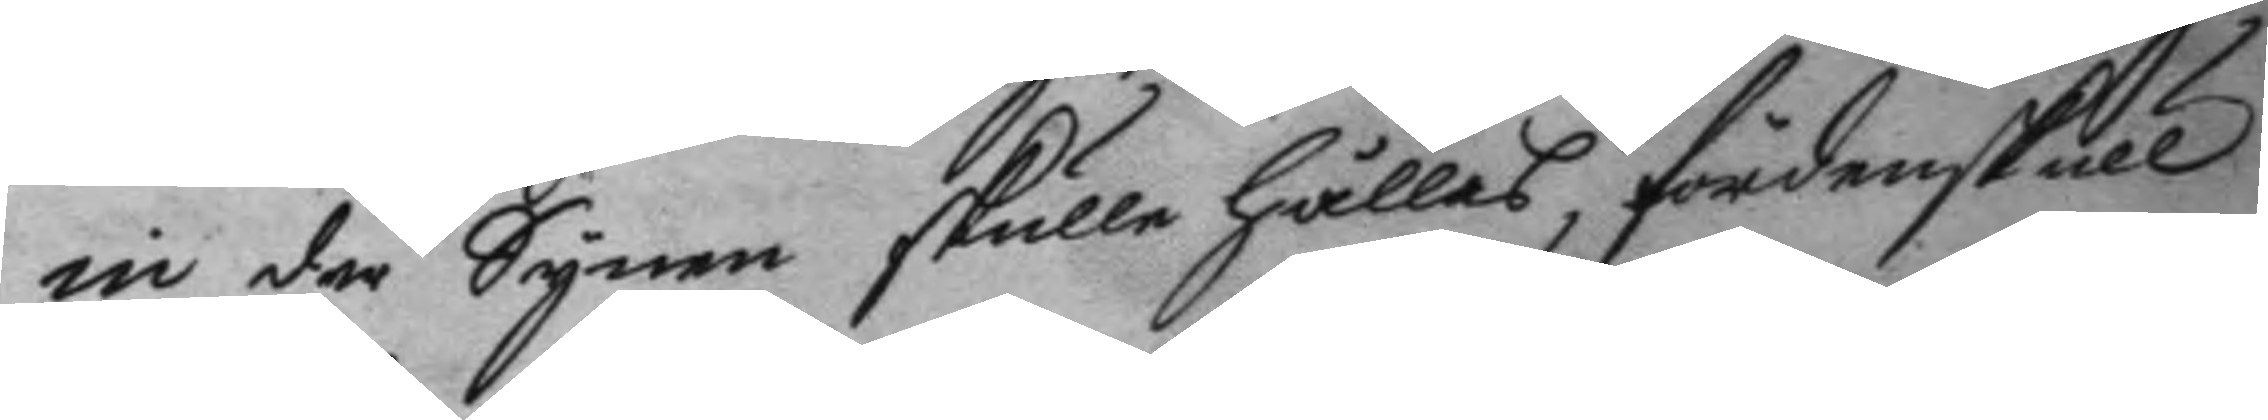in der Synen skulle hållas, fördenskull
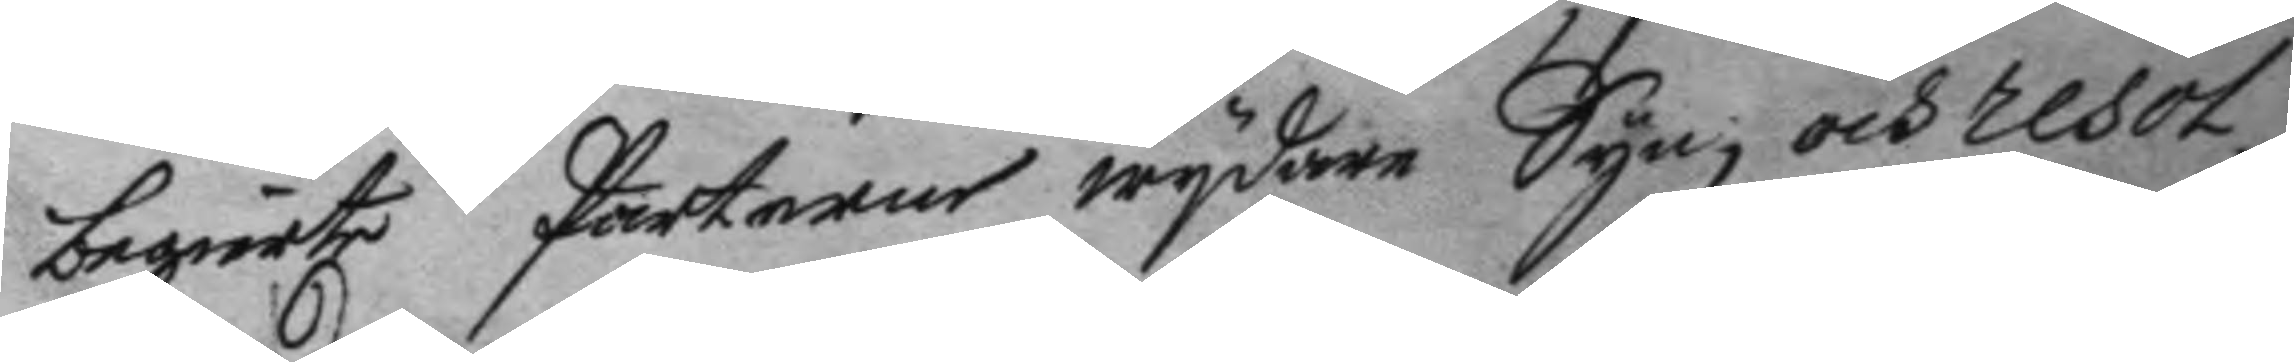begiärte Parterne wydare Syn, och resol¬
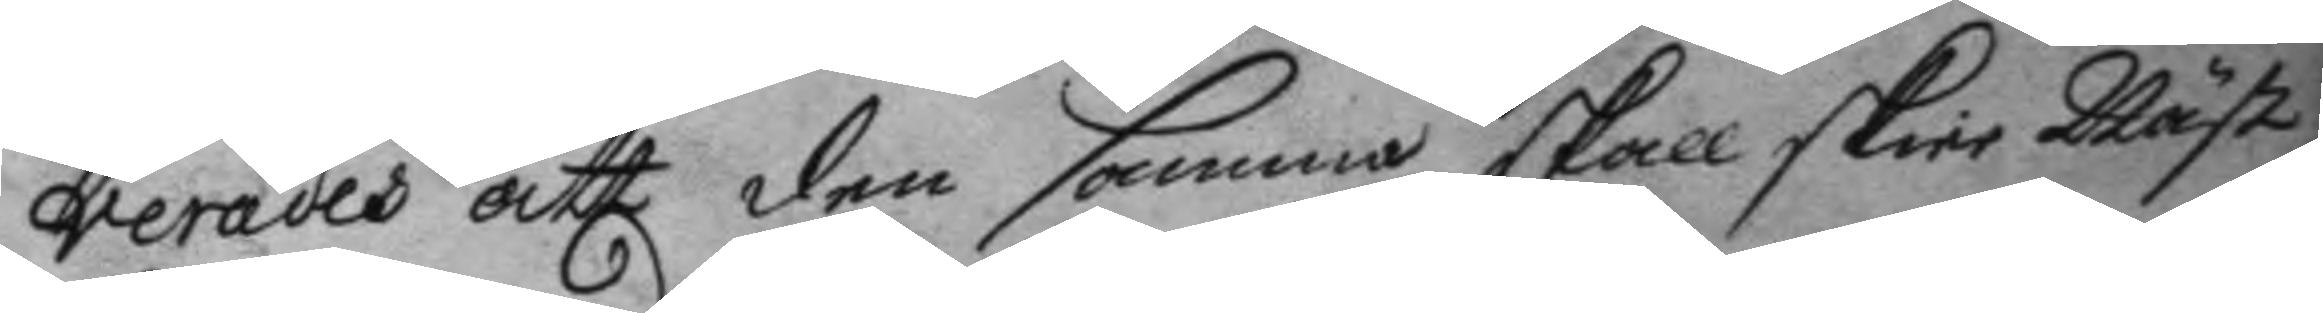verades att den samma skall skie Näst
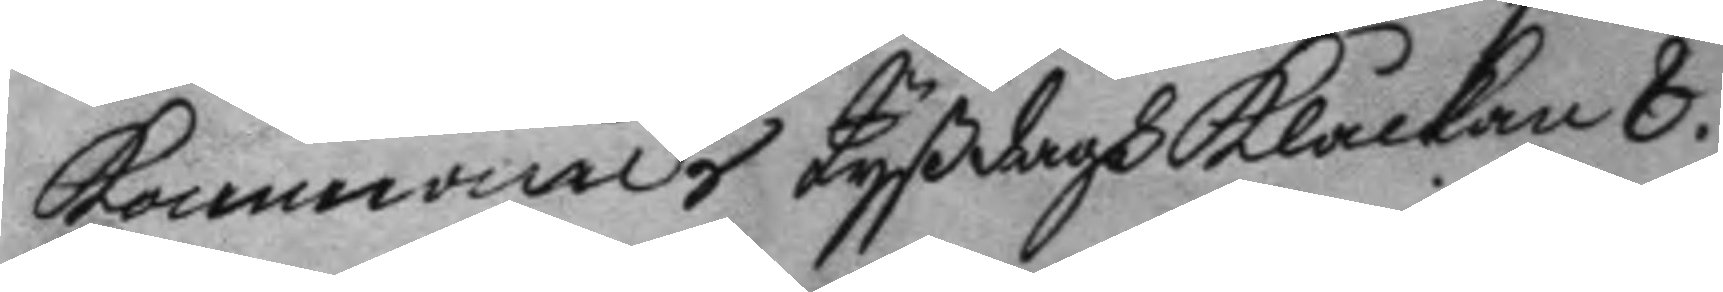kommande tyßdagh klåckan 8.
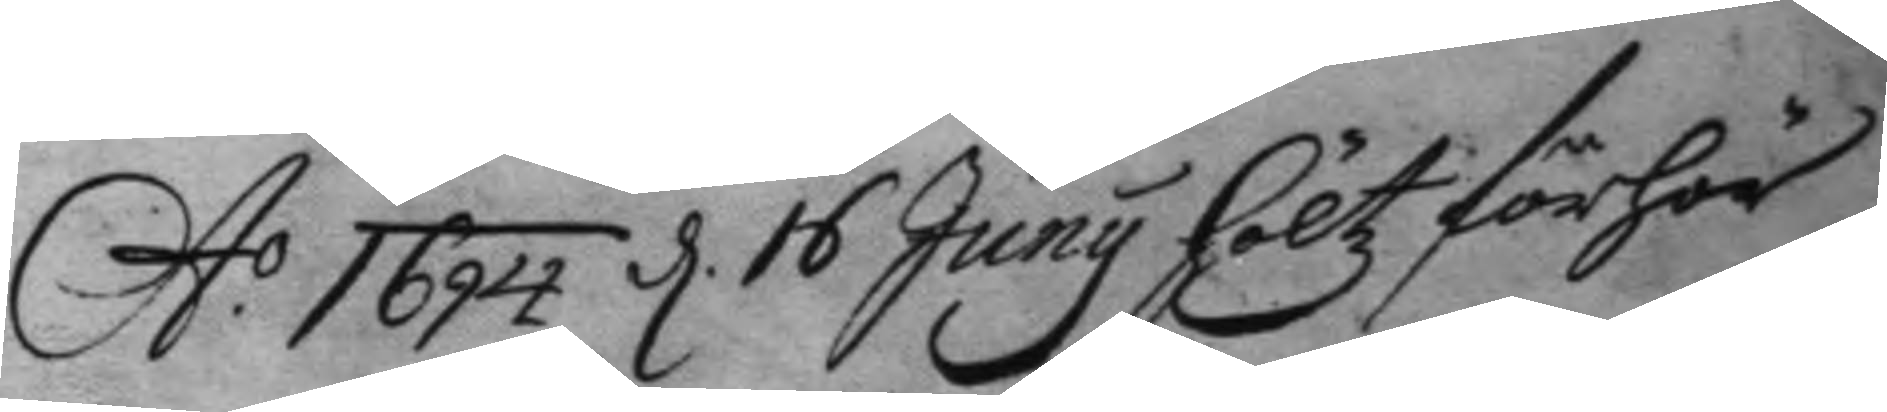A.o 1694 d. 16 Juny höltz förhör
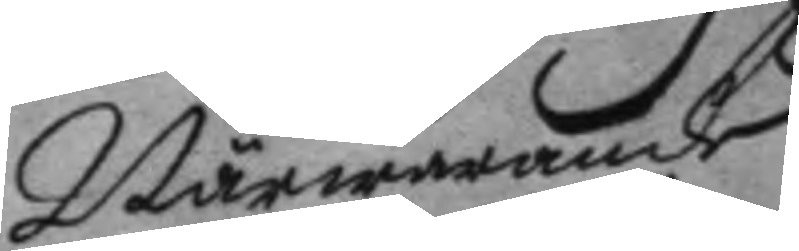Närwarande
